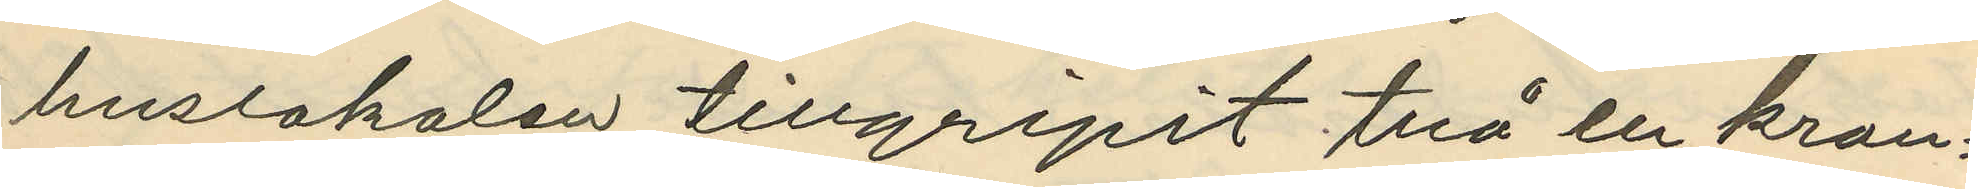huslokalen tillgripit två en kron¬
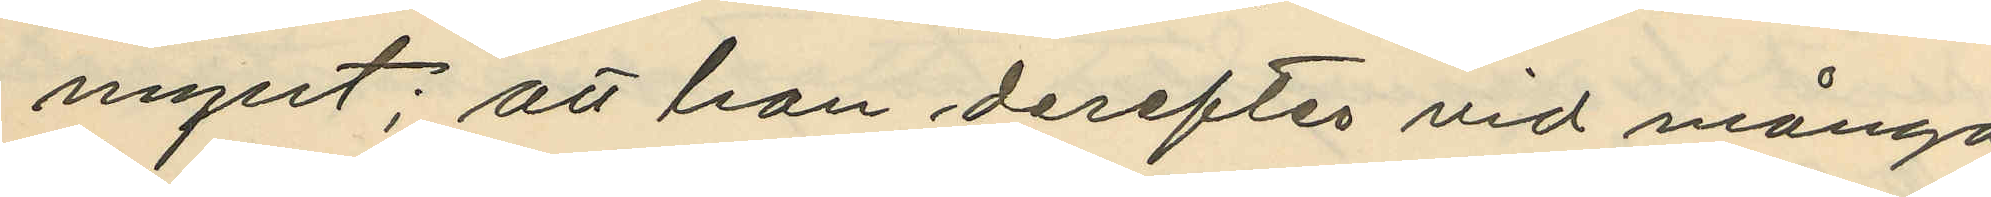mynt; att hon derefter vid många
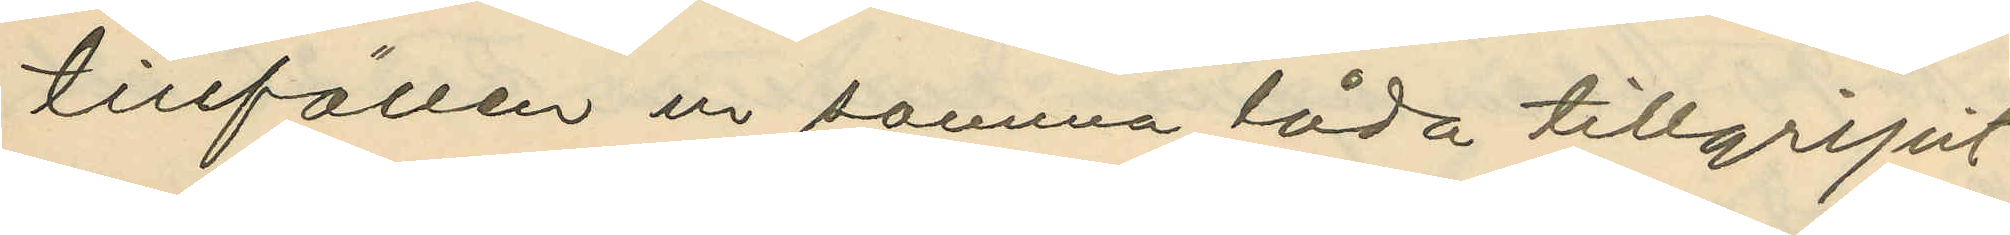tillfällen ur samma låda tillgripit
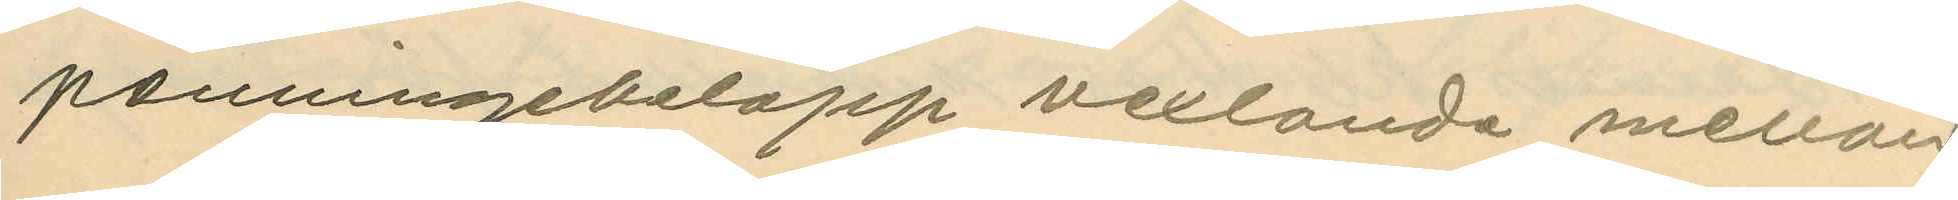penningebelopp vexlande mellan
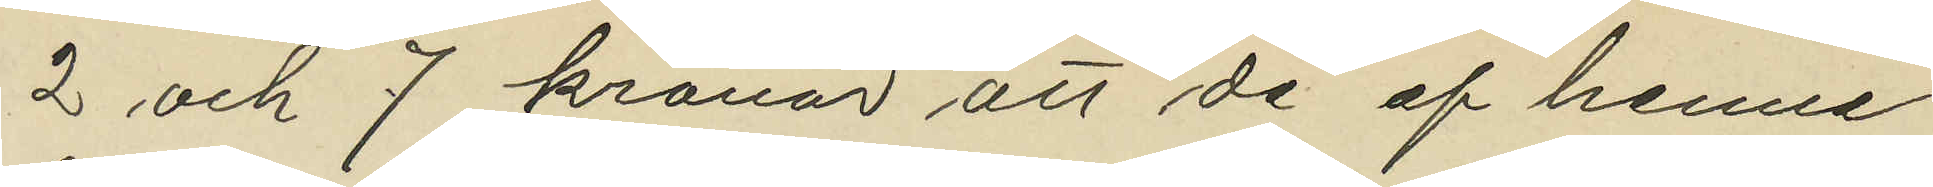2 och 7 kronor att de af henne
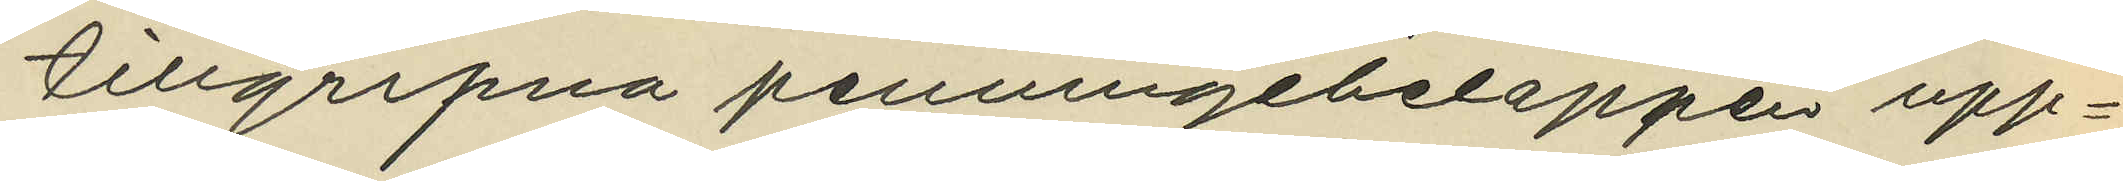tillgripna penningebeloppen upp¬
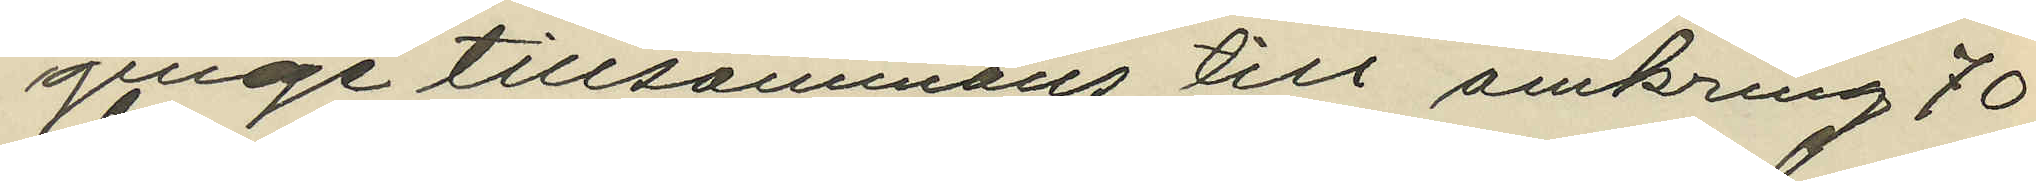ginge tillsammans till omkring 70
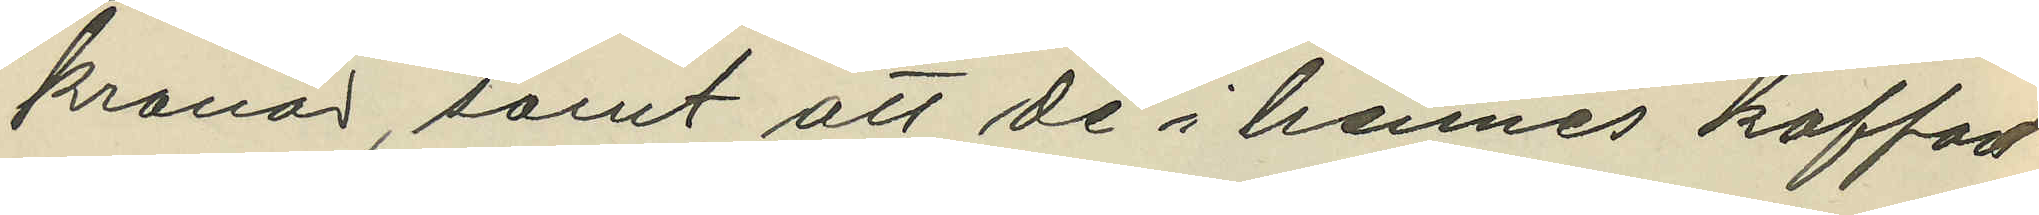kronor, samt att de i hennes koffort
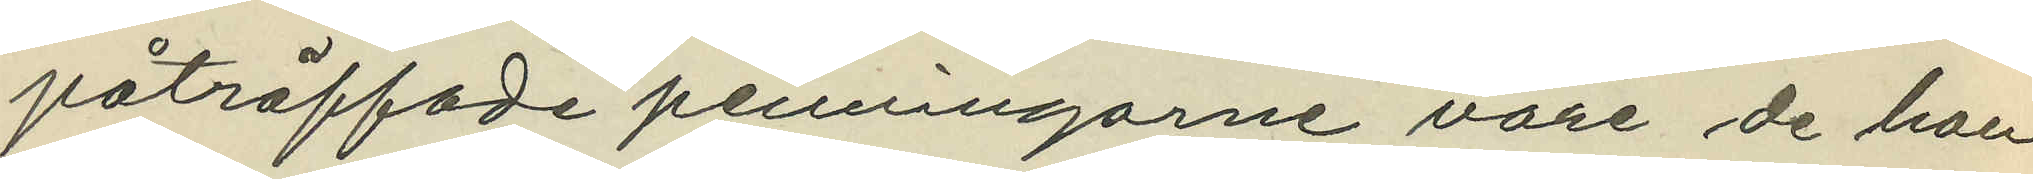påträffade penningarne vore de hon
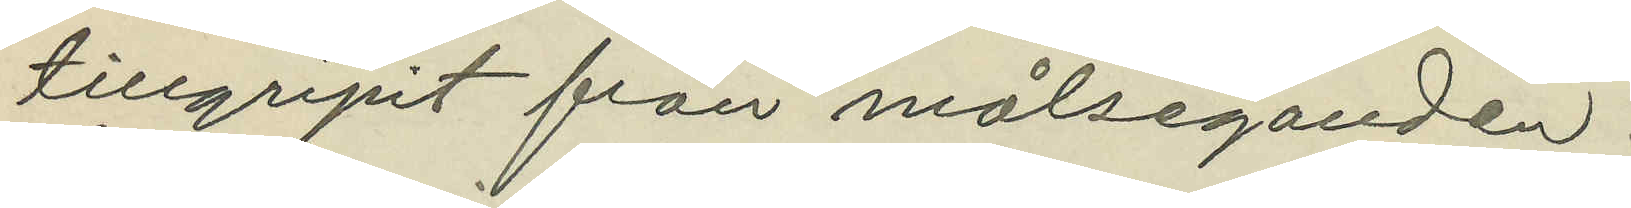tillgripit från målseganden.
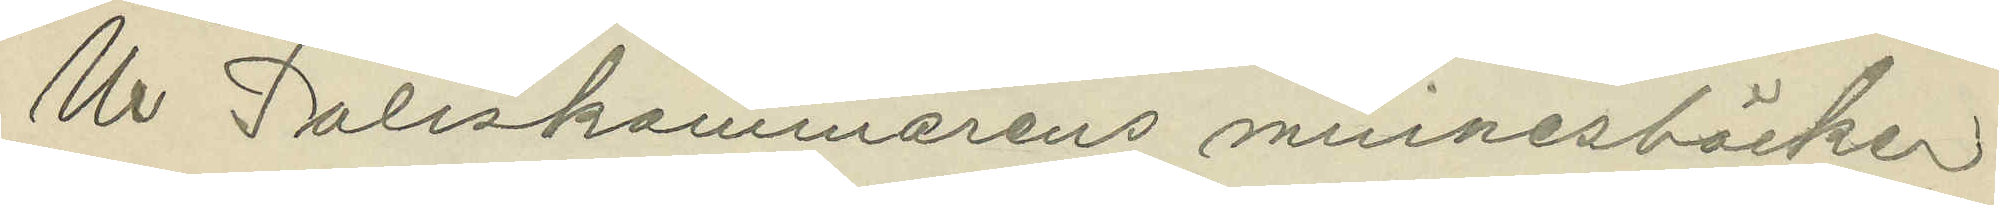Ur Poliskammarens minnesböcker
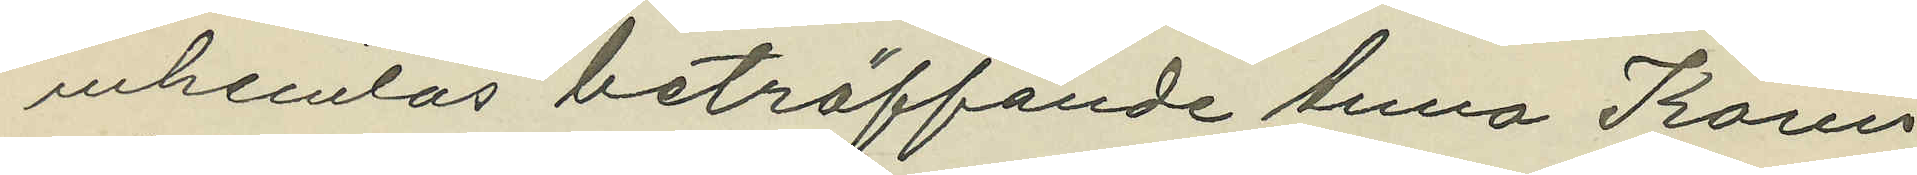inhemtas beträffande Anna Karin
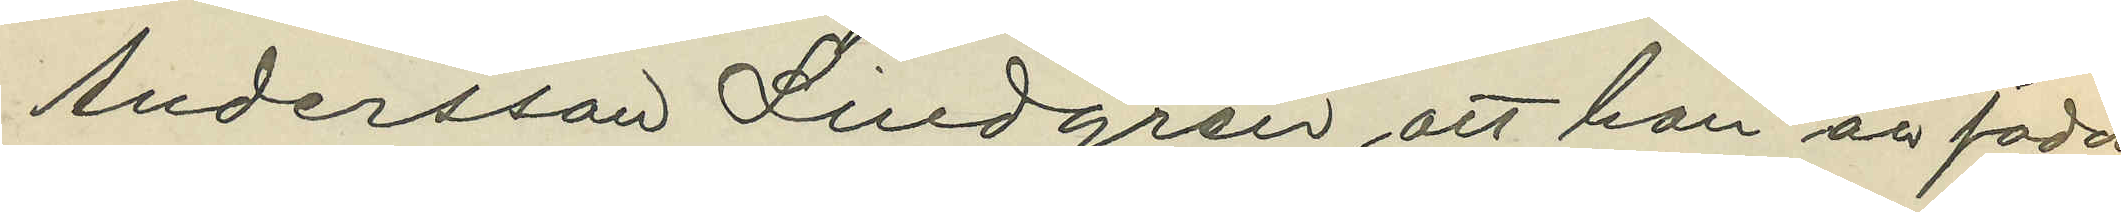Andersson Lindgren att hon är född
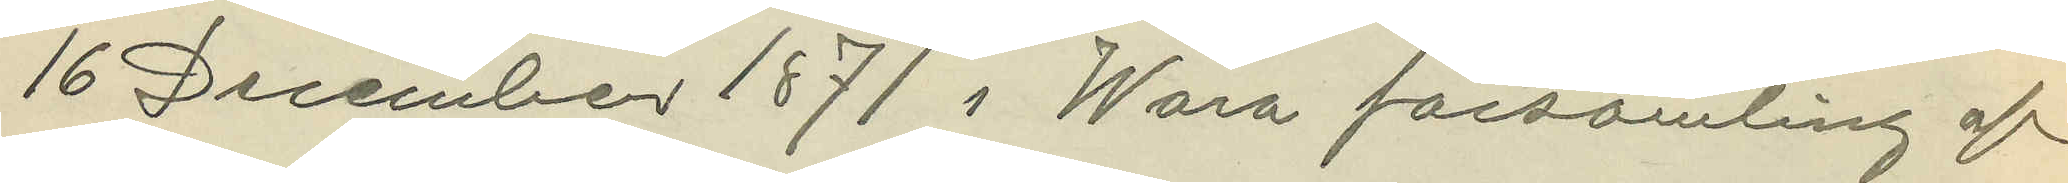16 December 1871 i Wara församling af
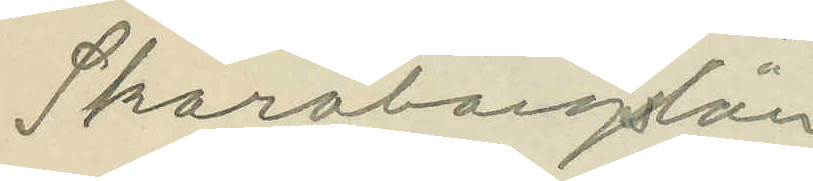Skaraborgslän
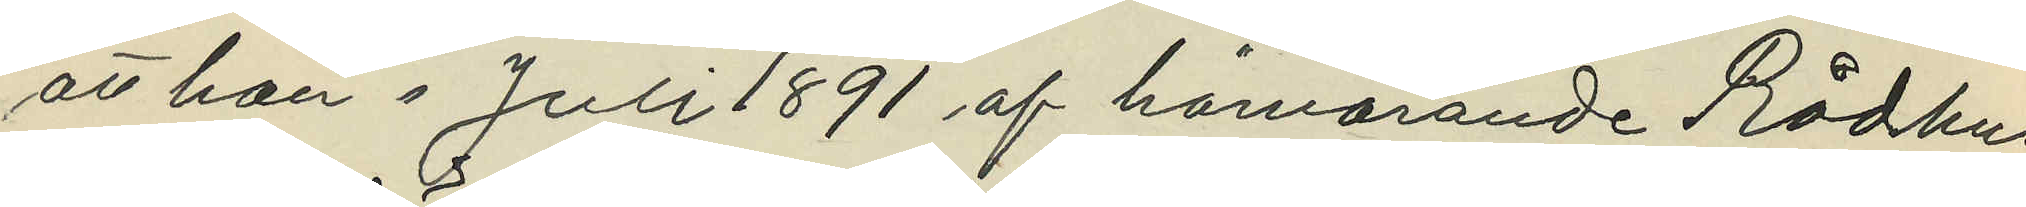att hon i Juli 1891 af härvarande Rådhus
